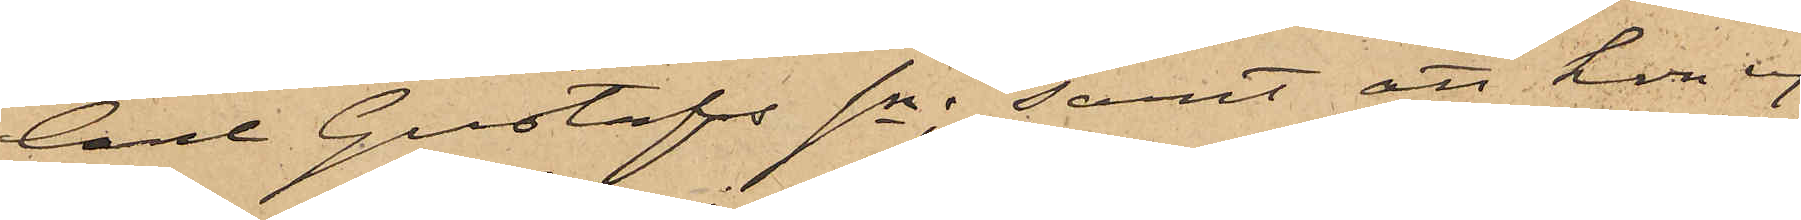Carl Gustafs sn; samt att hon ej
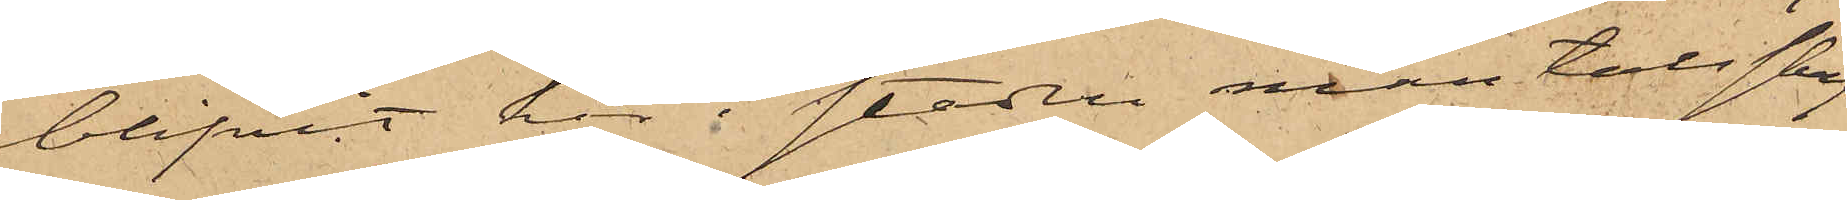blifvit här i staden mantalsskrif¬
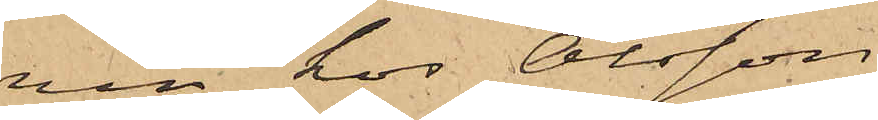ven hos Olsson
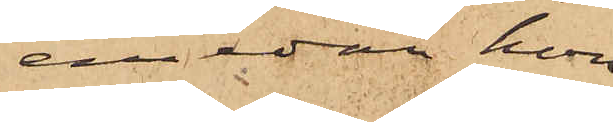emedan hon
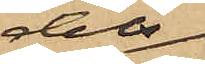dels
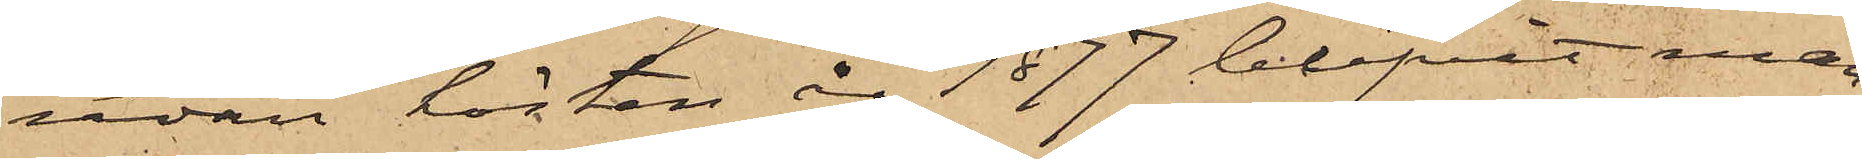redan hösten år 1877 blifvit man¬
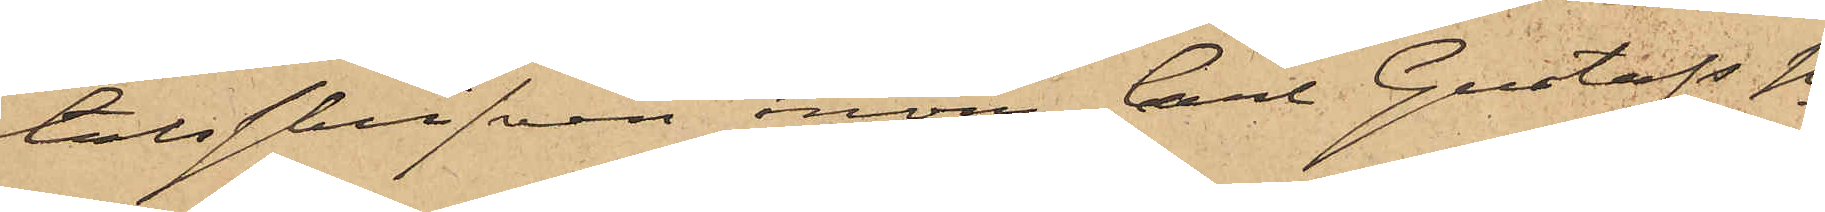talsskrifven inom Carl Gustafs sn
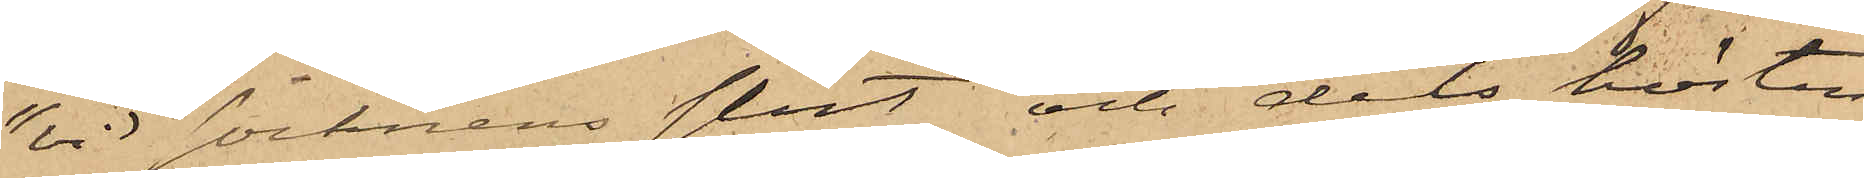"vid socknens slut" och dels hösten
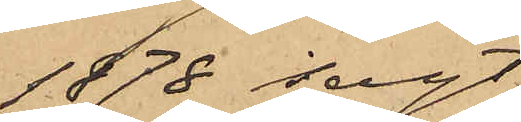1878 sagt
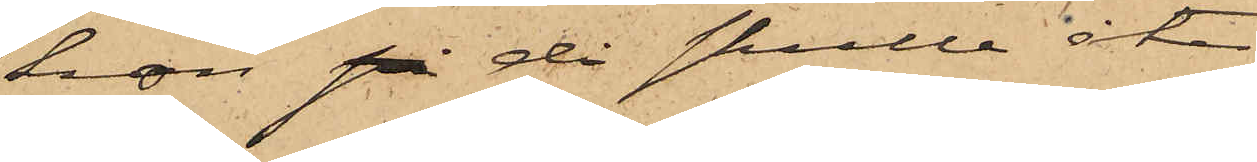hon på då skulle åter
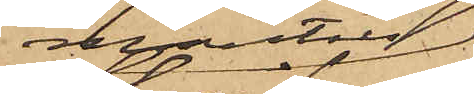mantals¬
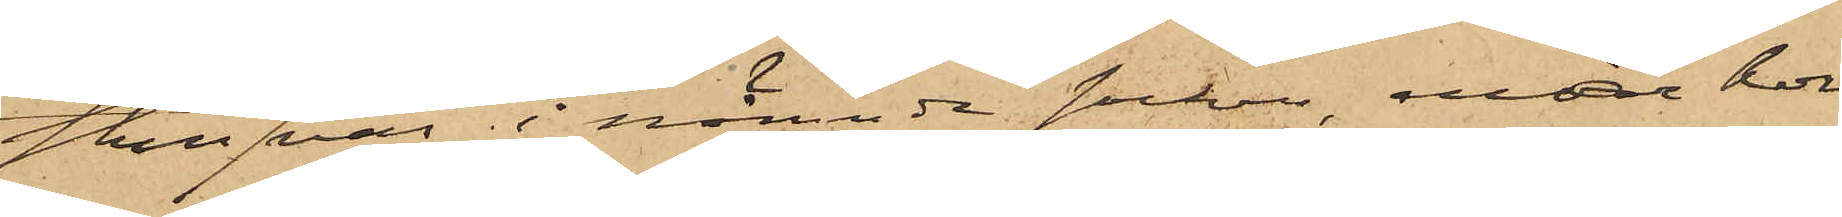skrifvas i nämnde socken, enär hon
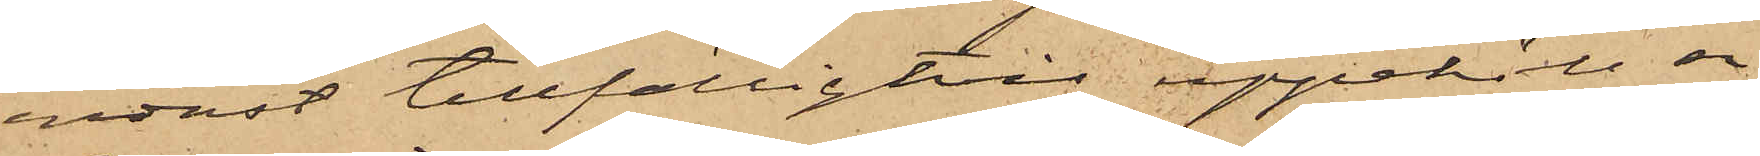endast tillfälligtvis uppehöll sig
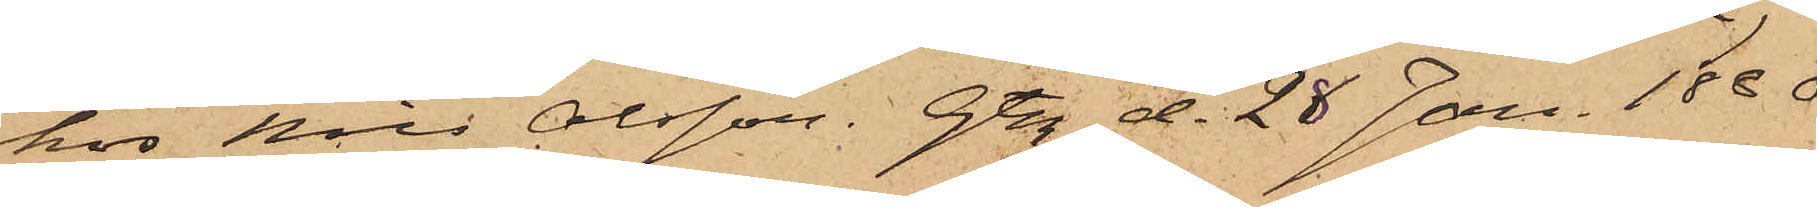hos Nils Olsson. Gtbg d. 28 Jan. 1880.
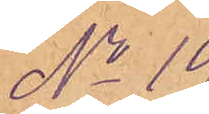No 19.
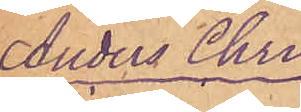Anders Chri-
